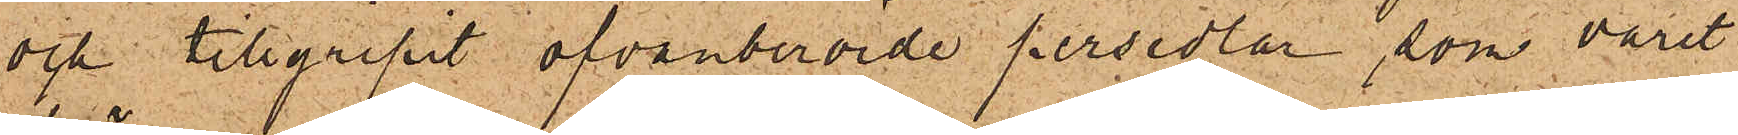och tillgripit ofvanberörde persedlar, som varit
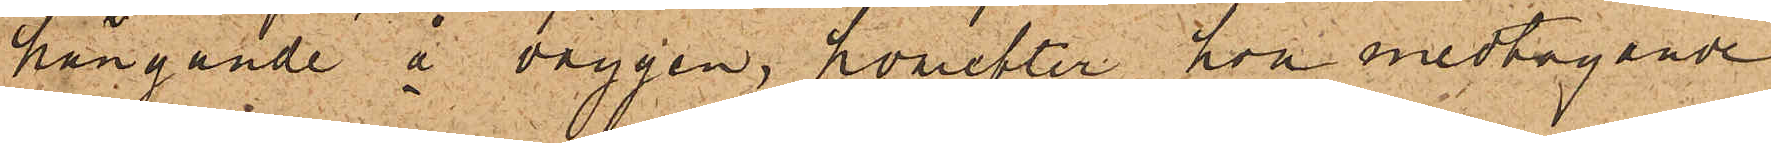hängande å väggen, hvarefter hon medtagande
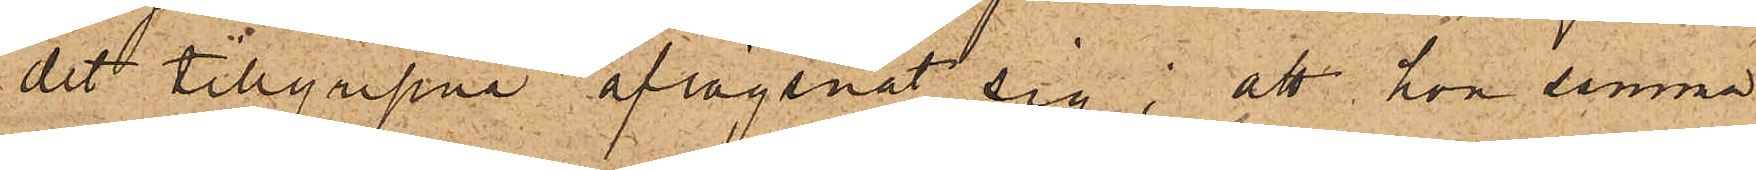det tillgripne aflägsnat sig; att hon samma
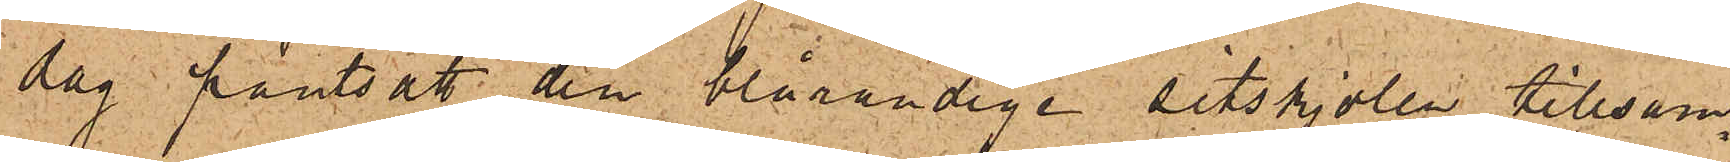dag pantsatt den blårandiga sitskjolen tillsam¬
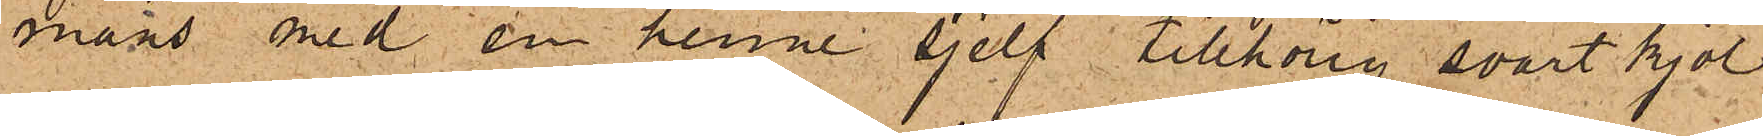mans med en henne sjelf tillhörig svart kjol
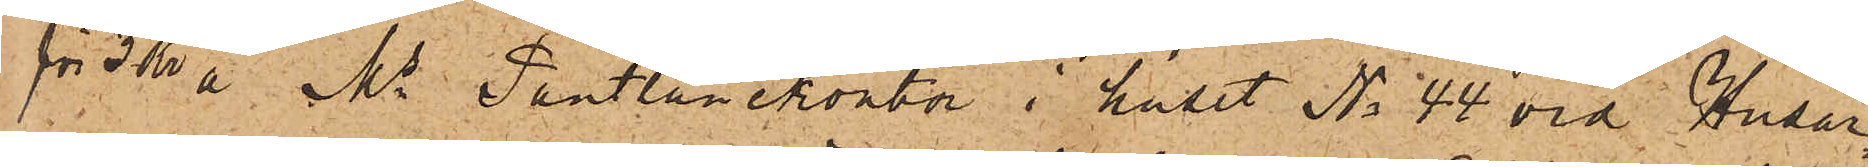för 3 kr å Ms Pantlånekontor i huset No 44 vid Husar¬
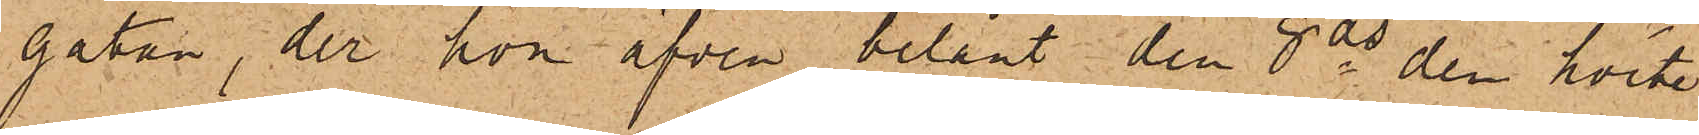gatan, der hon äfven belånt den 8 ds den hvita
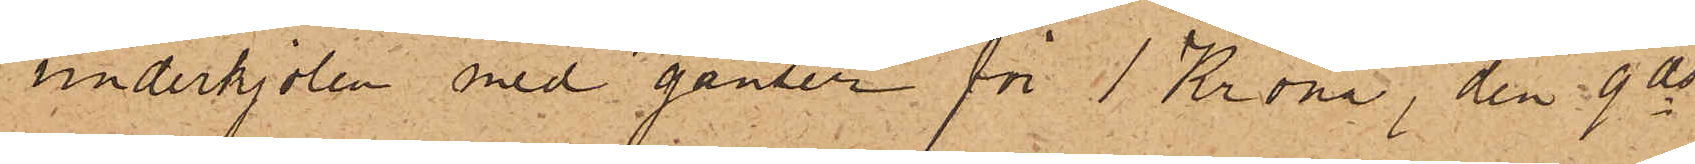underkjolen med ganser för 1 Krona, den 9 ds
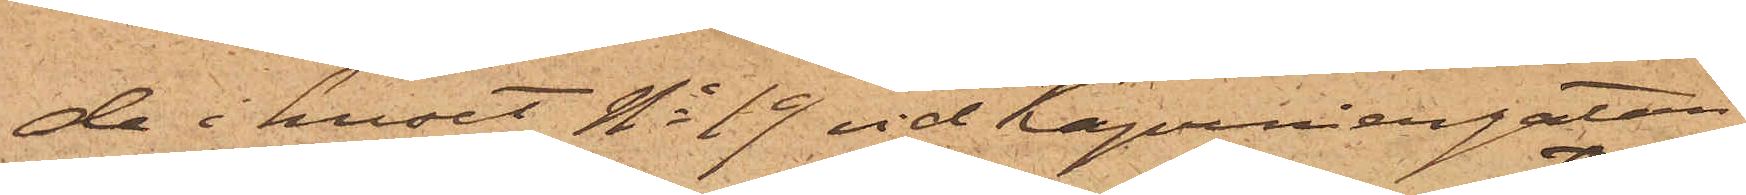de i huset No 19 vid Kapuniergatan,
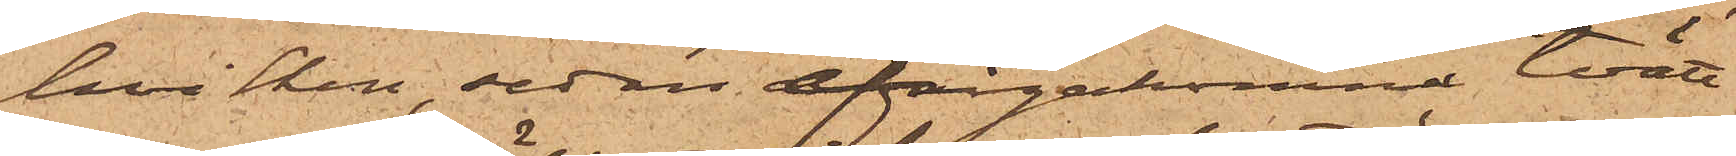hvilken, sedan ifrågakomne tvätt¬
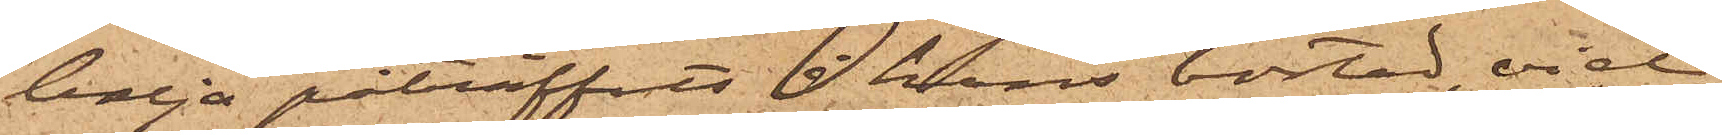balja påträffats i hans bostad, vid
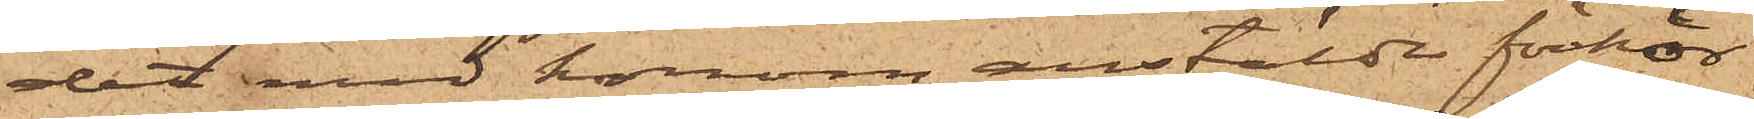det med honom anstälde förhör
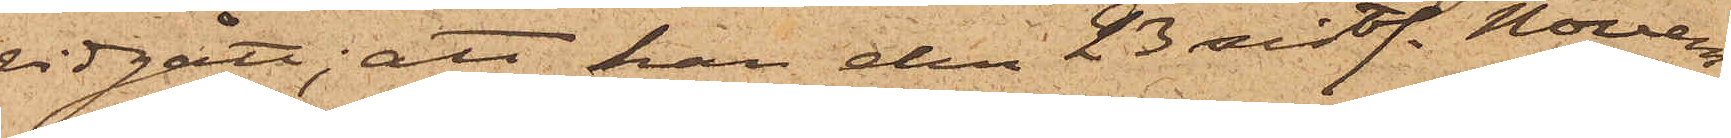vidgått; att han den 23 sistl. Novem¬
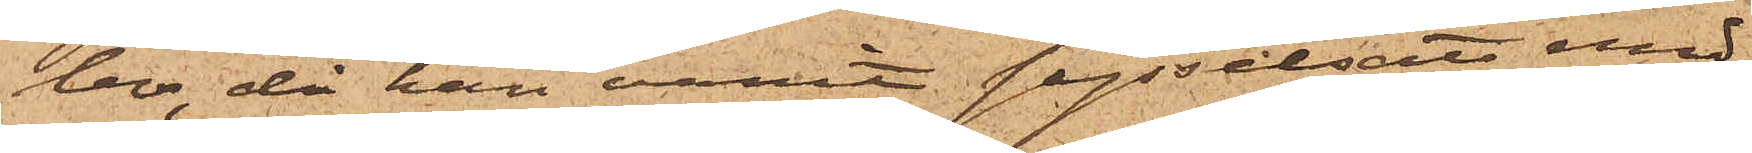ber, då han varit sysselsatt med
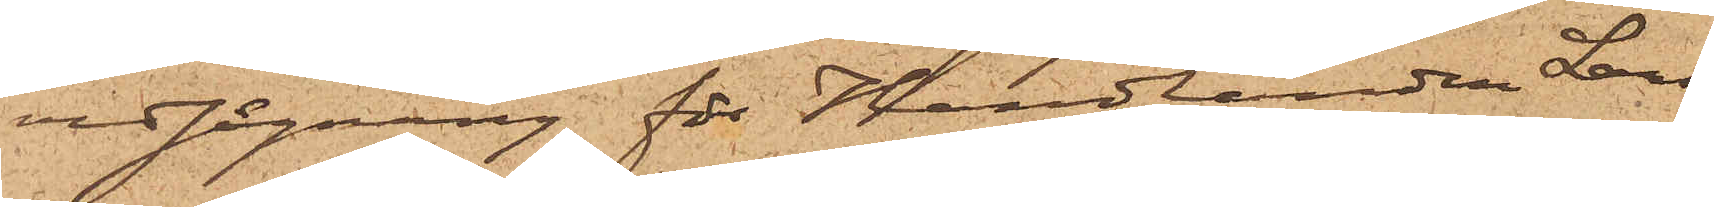vedsågning för Handlanden Lars¬
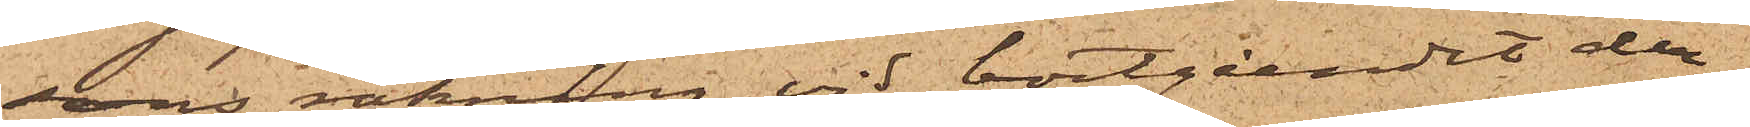sons räkning. vid bortgåendet der¬
